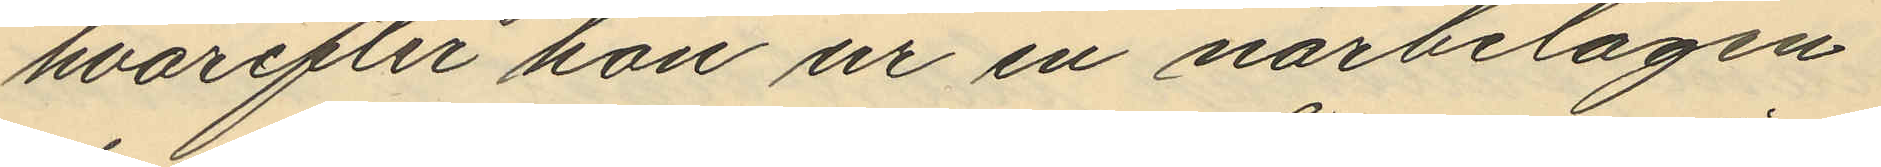hvarefter hon ur en närbelägen
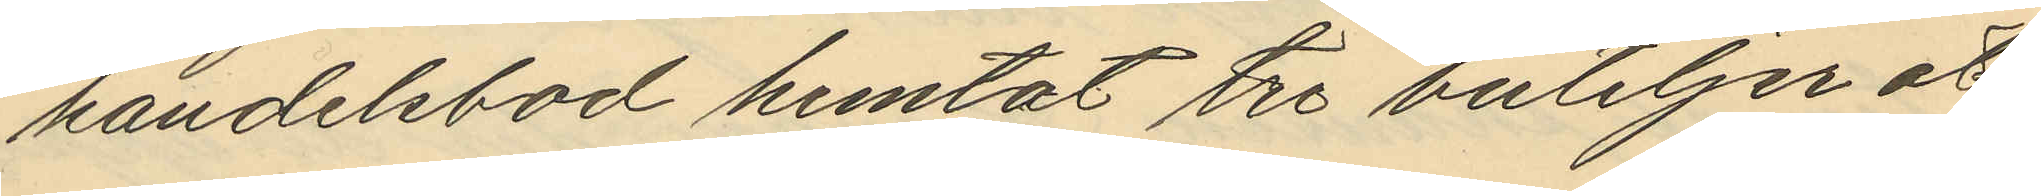handelsbod hemtat tre buteljer öl
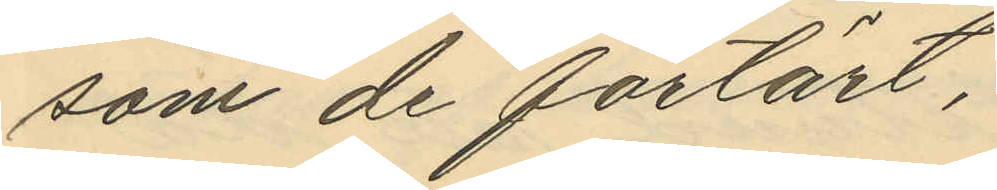som de förtärt,
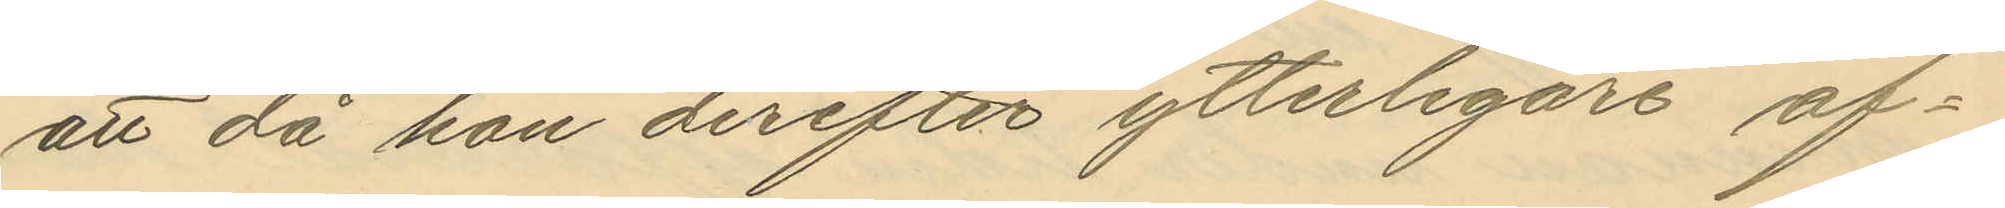att då hon derefter ytterligare af¬
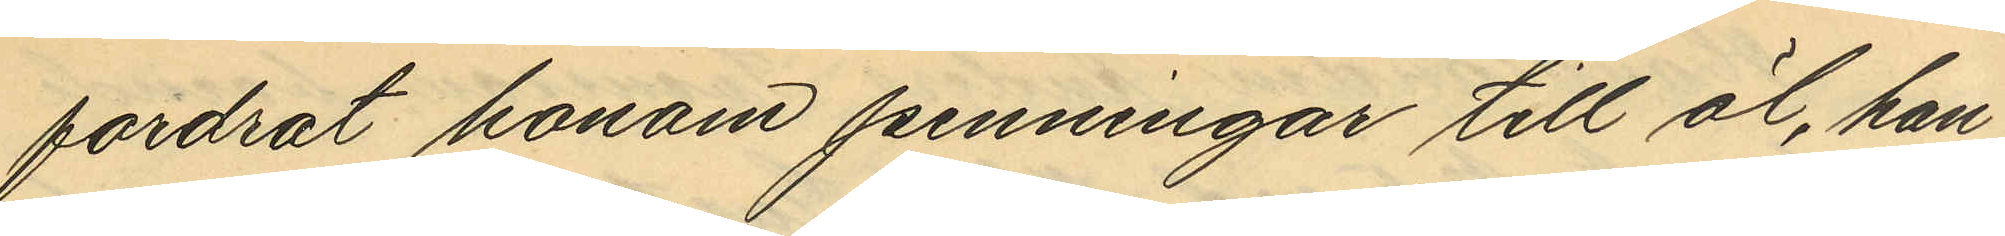fordrat honom penningar till öl, han
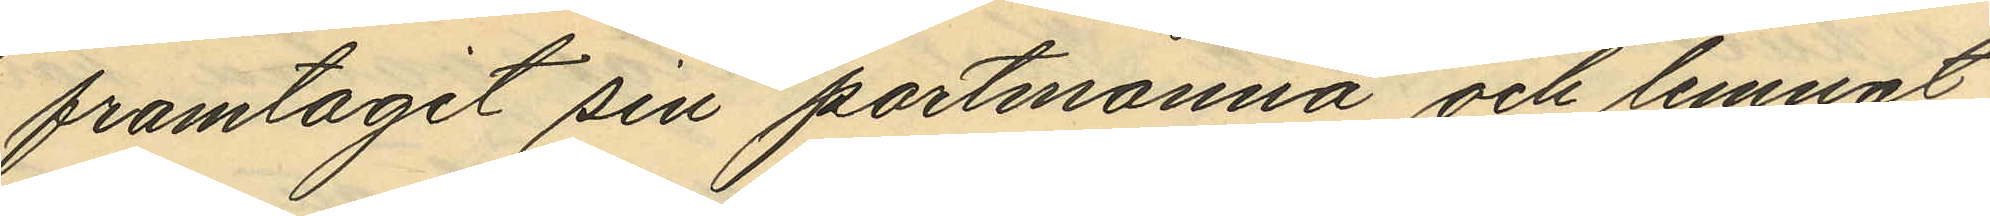framtagit sin portmonnä och lemnat
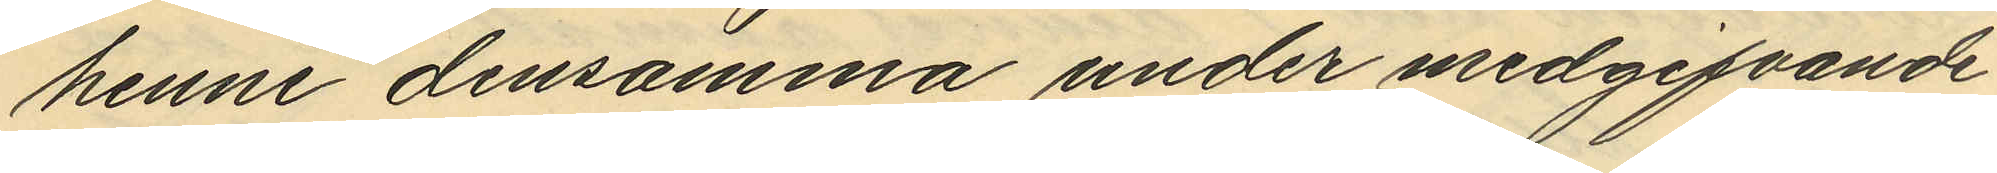henne densamma under medgifvande
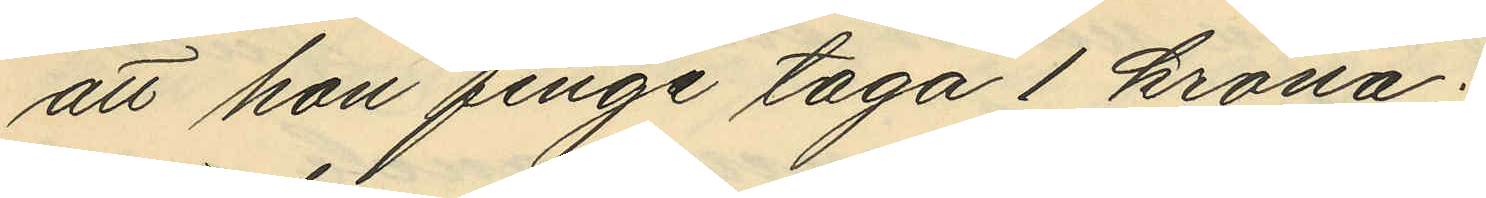att hon finge taga 1 krona;
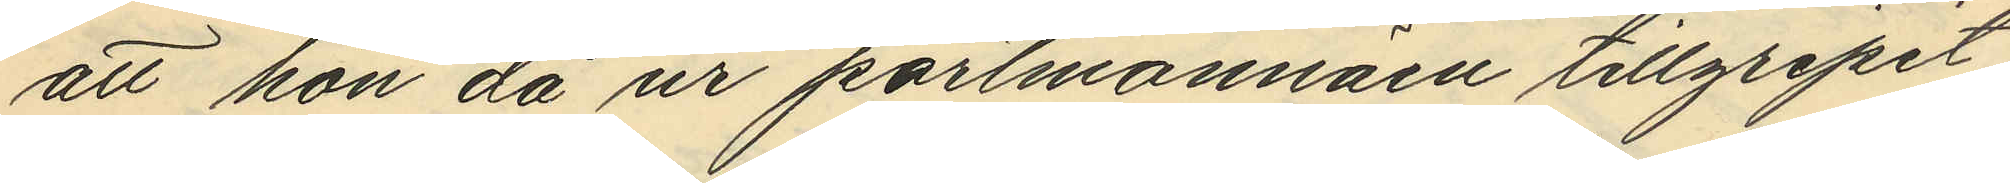att hon då ur portmonnäen tillgripit
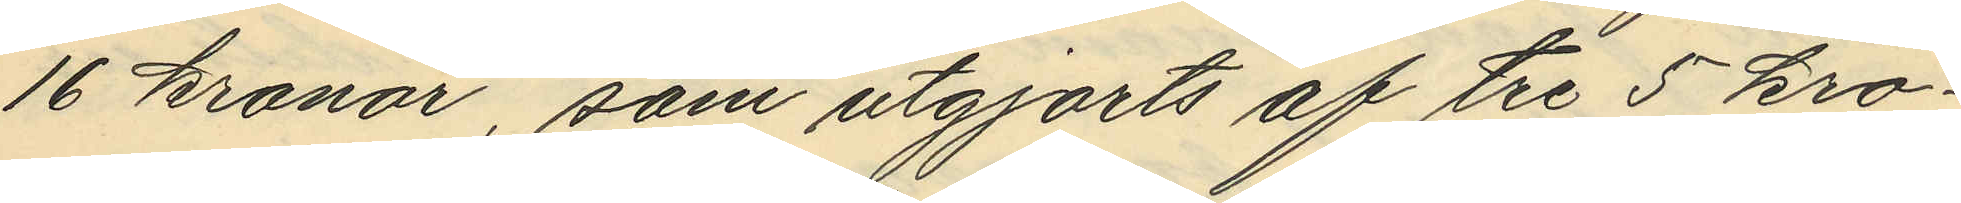16 kronor, som utgjorts af tre 5 kro¬
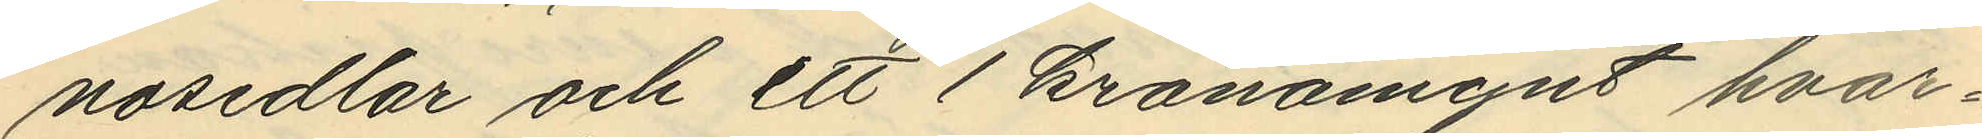nosedlar och ett 1 kronamynt hvar¬
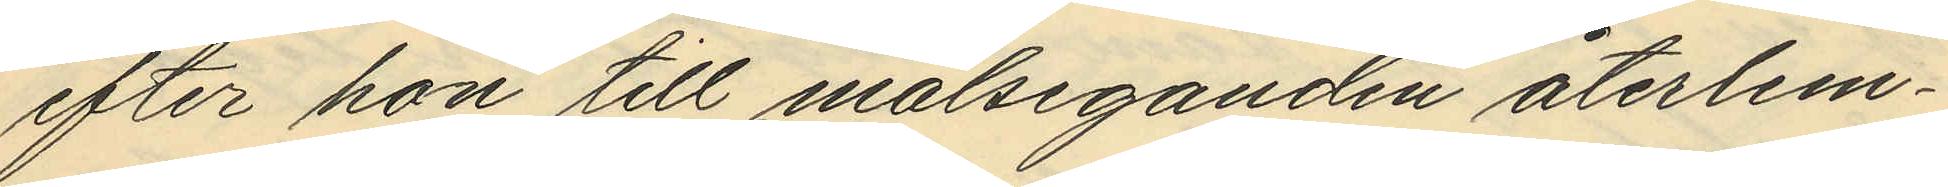efter hon till målseganden återlem¬
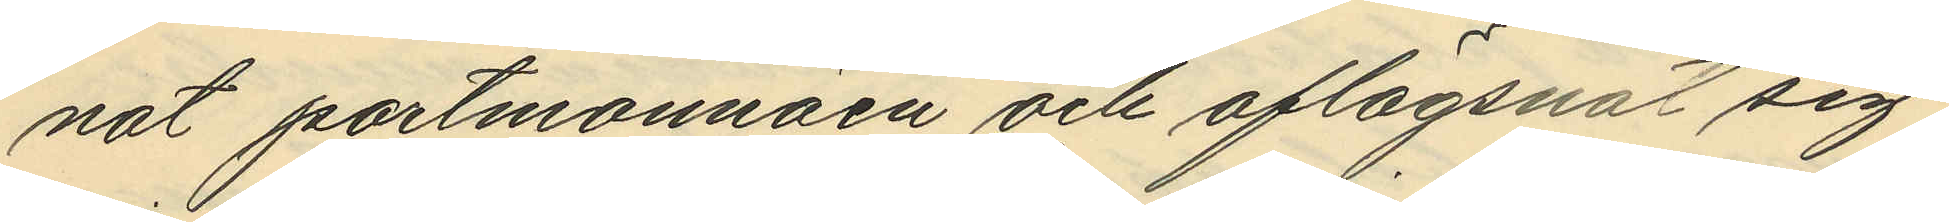nat portmonnäen och aflägsnat sig,
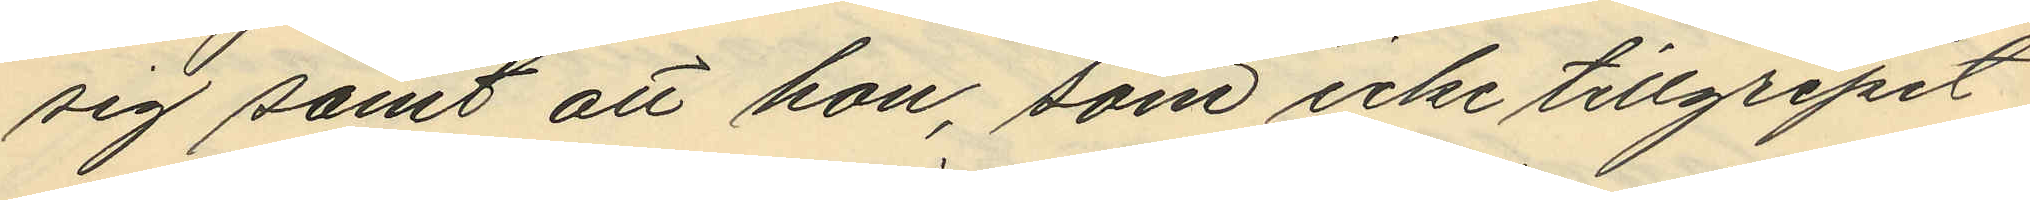sig samt att hon, som icke tillgripit
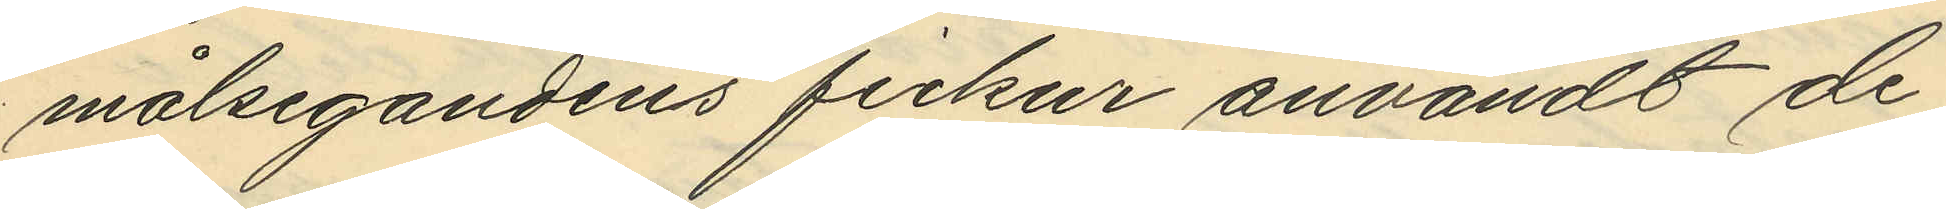målsegandens fickur användt de
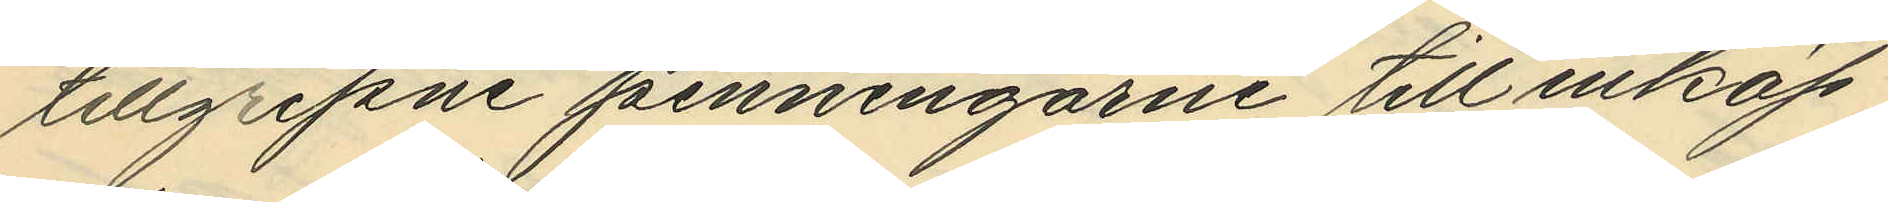tillgripne penningarne till inköp
